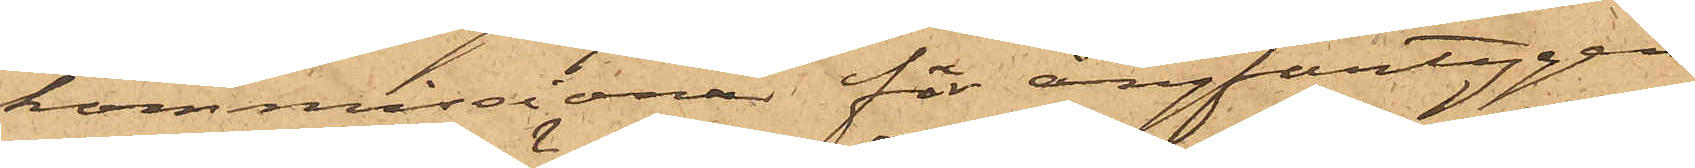kommissionär för ångfartygen
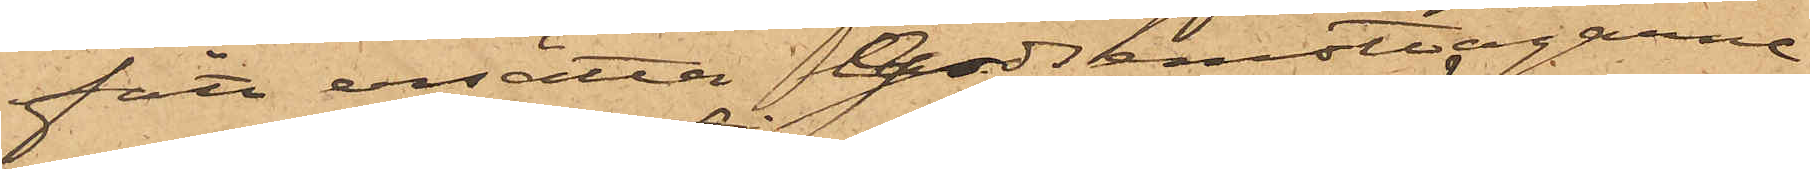fått ersätta Godsemottagarne
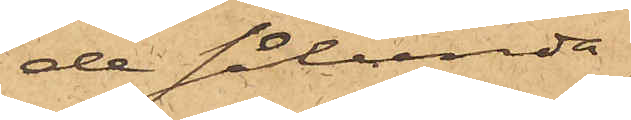de sålunda
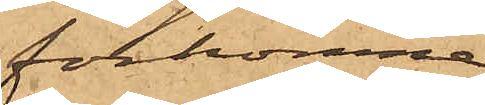förkomne
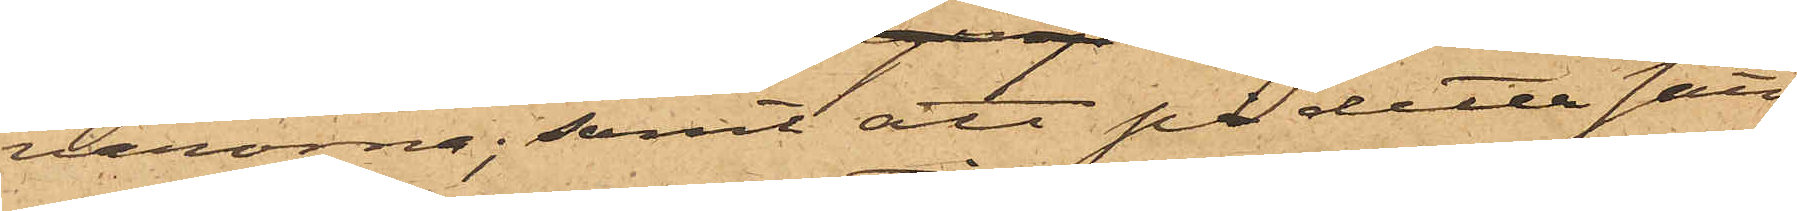varorna; samt att på detta sätt
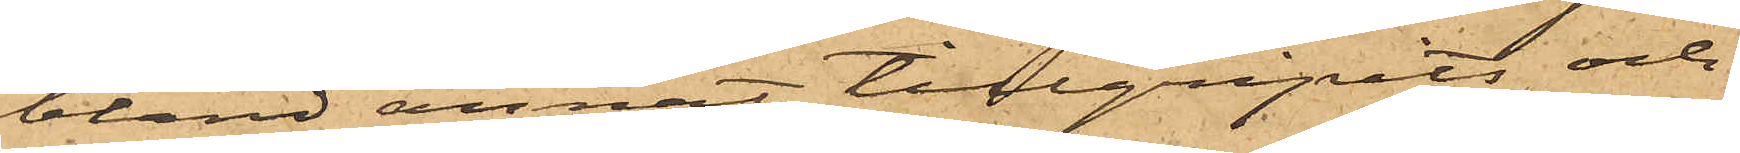bland annat tillgripits och
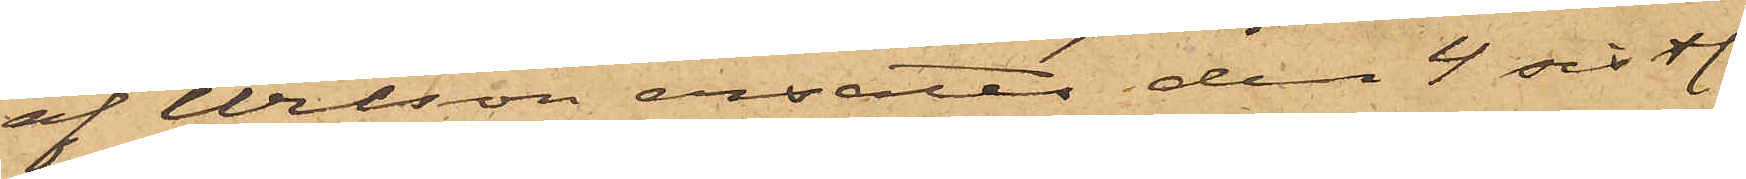af Wilson ersatts den 4 sistl.
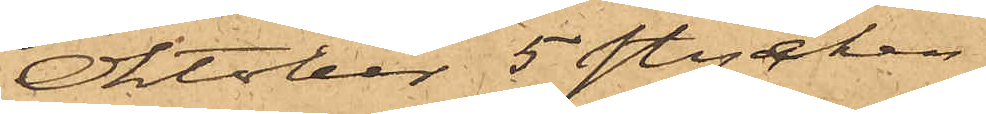Oktober 5 stycken
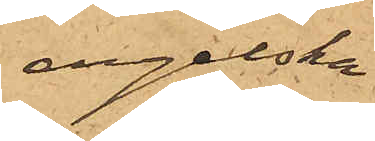engelska
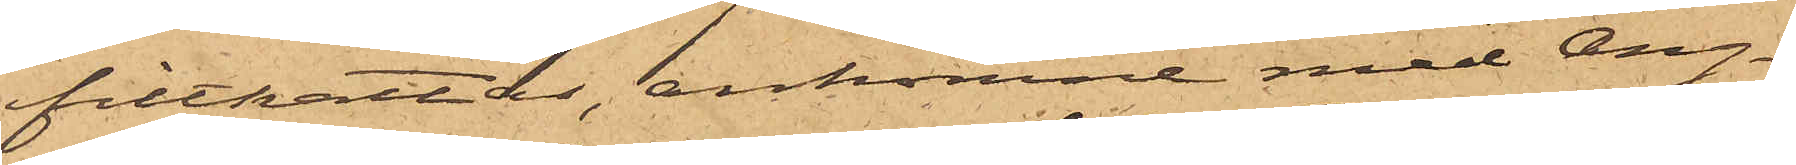filthattar, ankomne med Ång¬
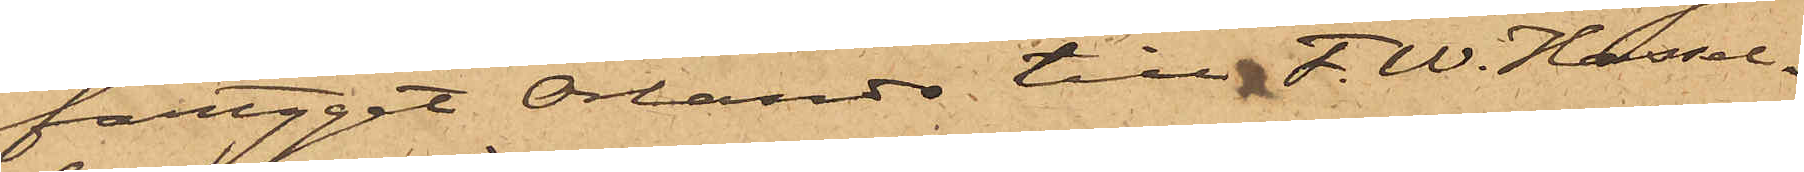fartyget Orlando till F. W. Hassel¬
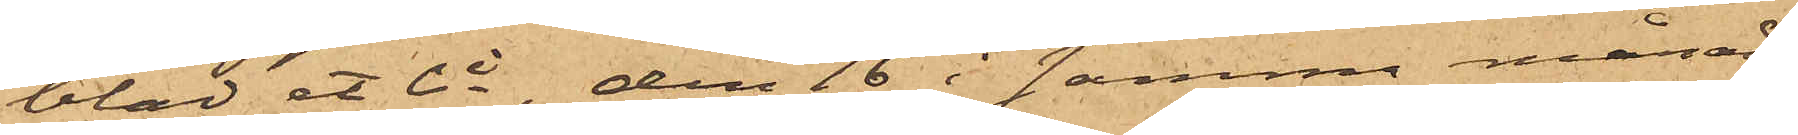blad et Ci, den 16 i samma månad
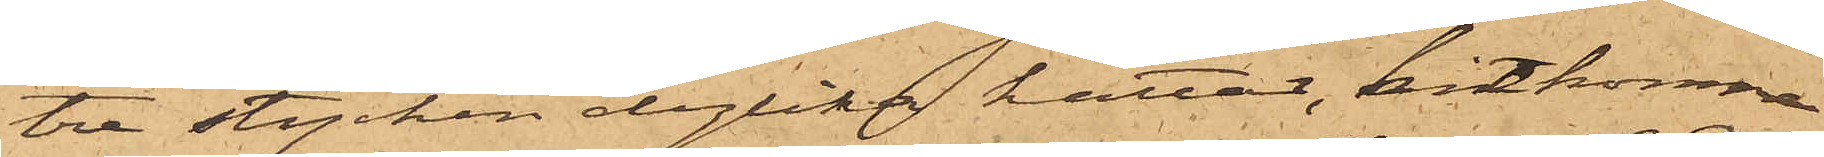tre stycken dylika hattar, ankomne
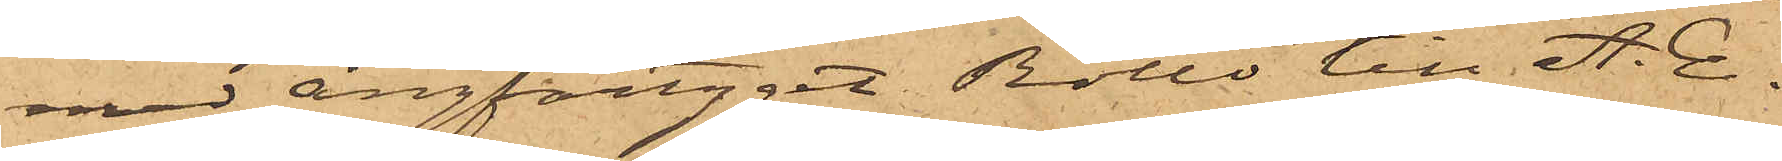med ångfartyget Rollo till A. E.
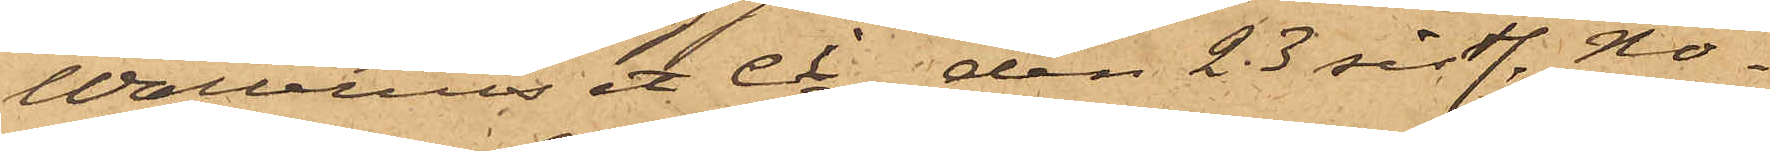Wallerius et Ci, den 23 sistl. No¬
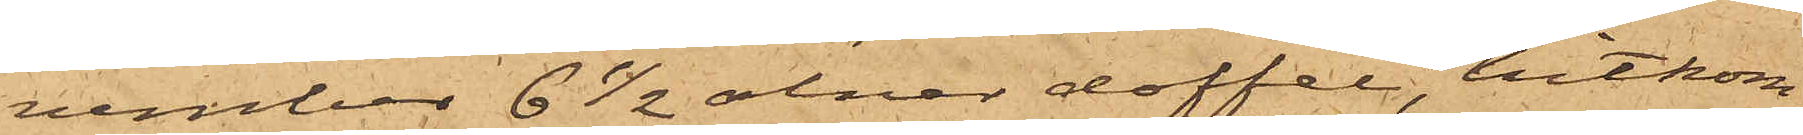vember 6 1/2 alnar doffel, hitkom¬
